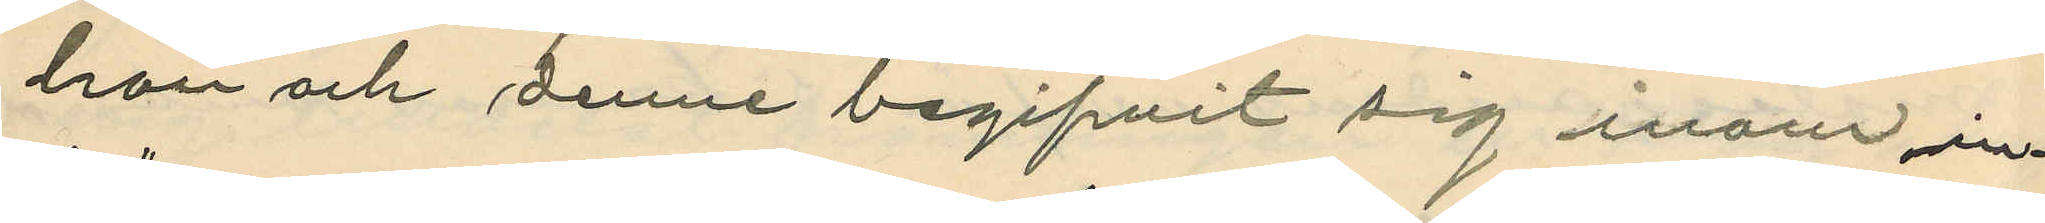hon och denne begifvit sig inom in¬
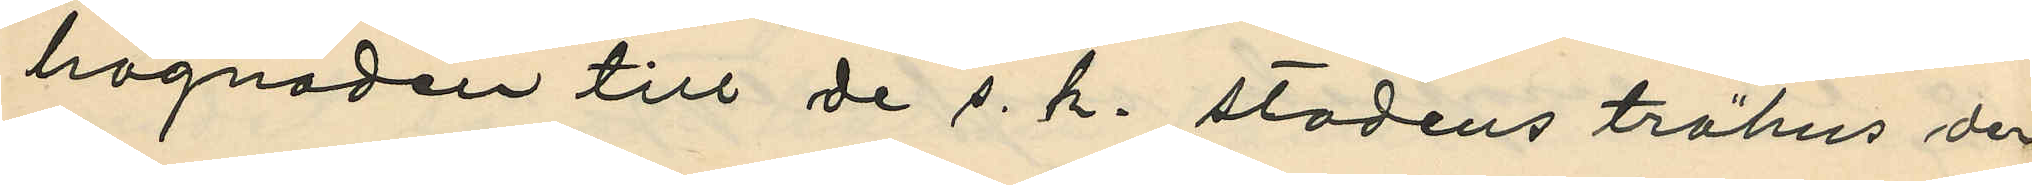hägnaden till de s. k. stadens trähus der
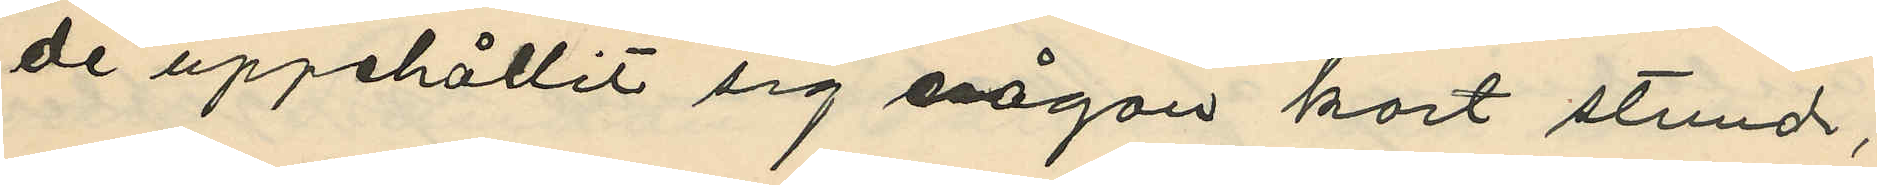de uppehållit sig någon kort stund;
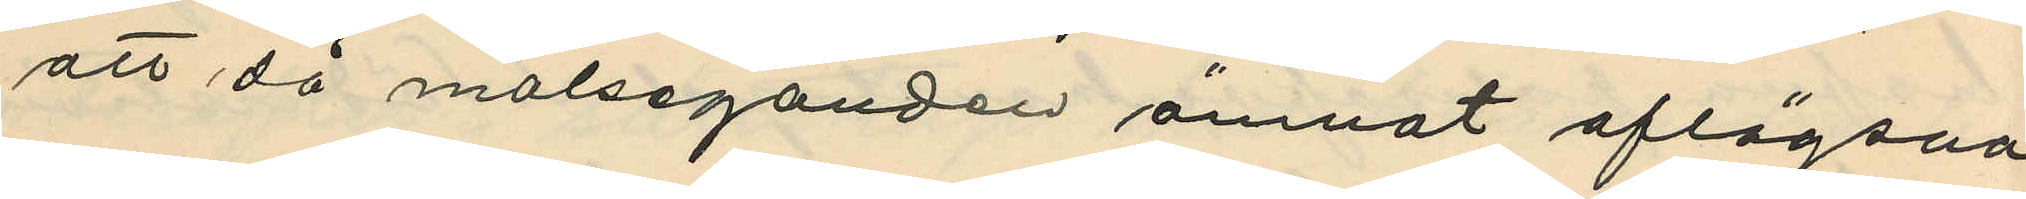att då målseganden ämnat aflägsna
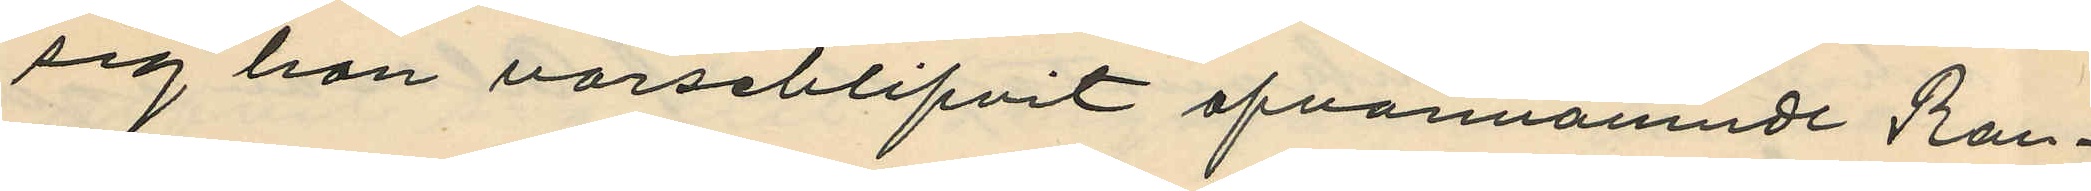sig hon varseblifvit ofvannamnde Ran¬
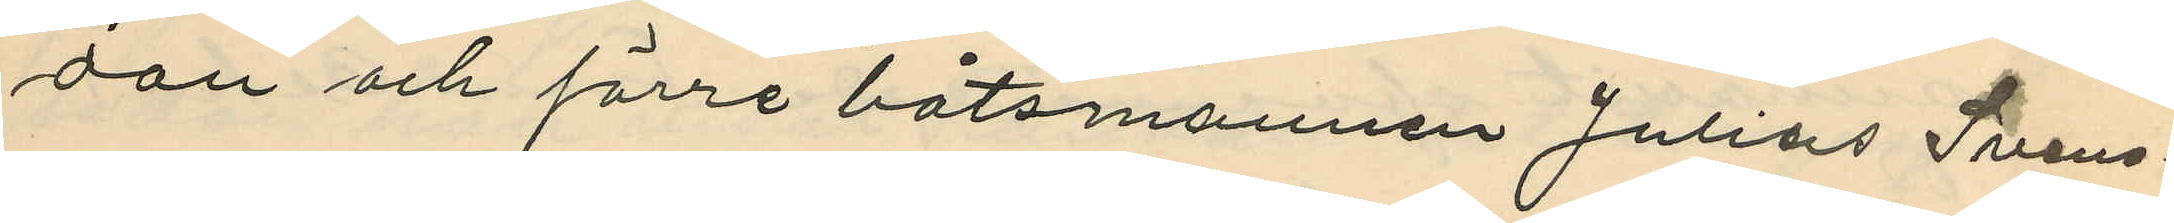dau och förre båtsmannen Julius Svens¬
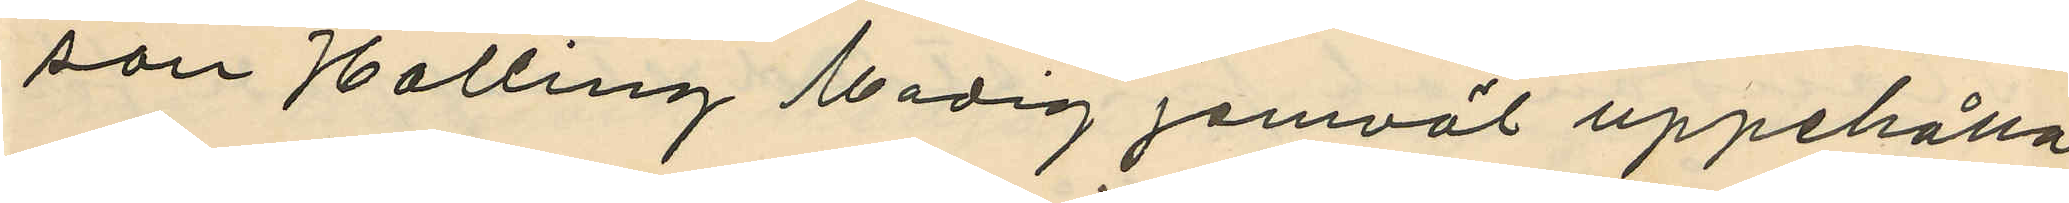son Halling Modig jemväl uppehålla
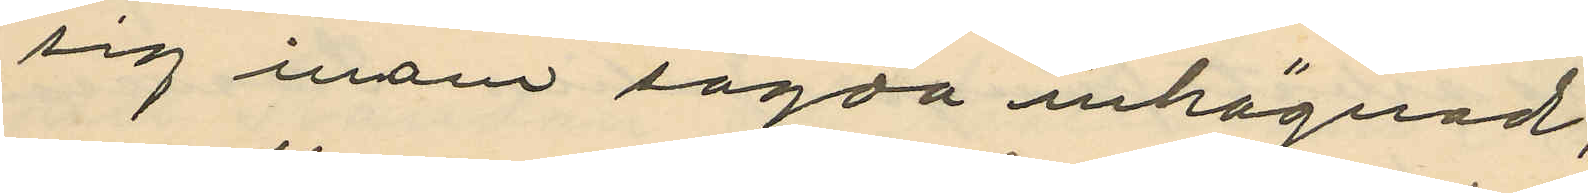sig inom sagda inhägnad;
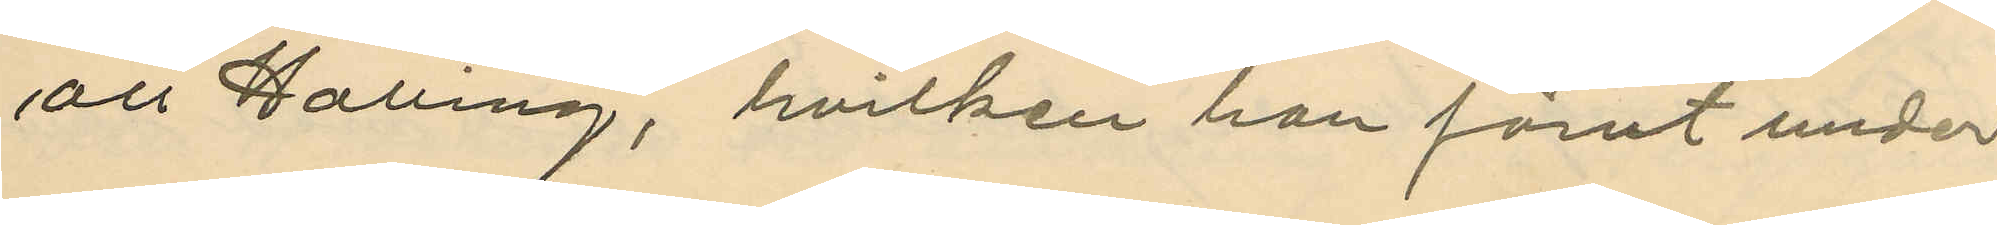att Halling, hvilken hon förut under
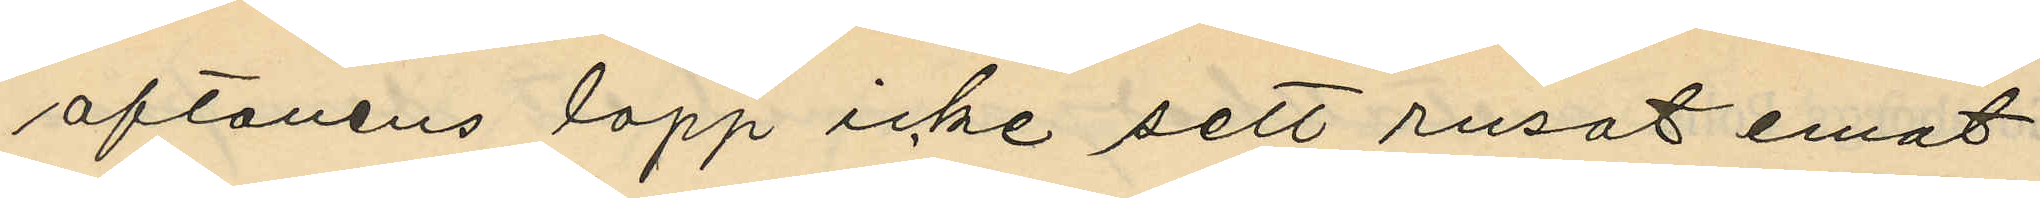aftonens lopp icke sett rusat emot
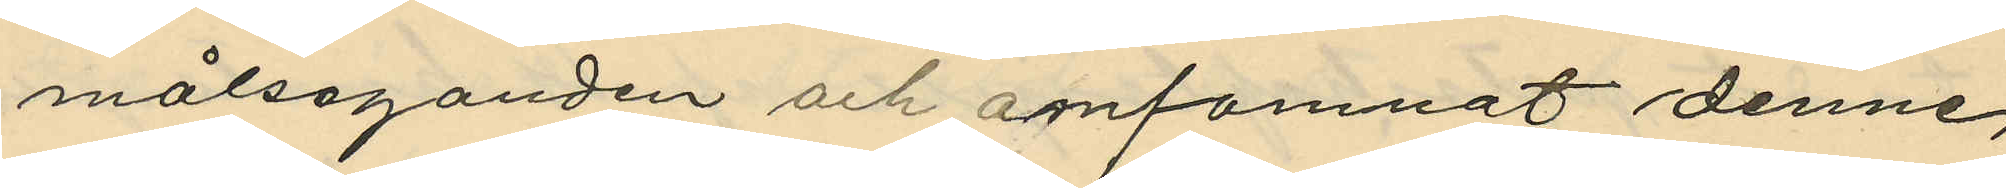målsaganden och amfamnat denne,
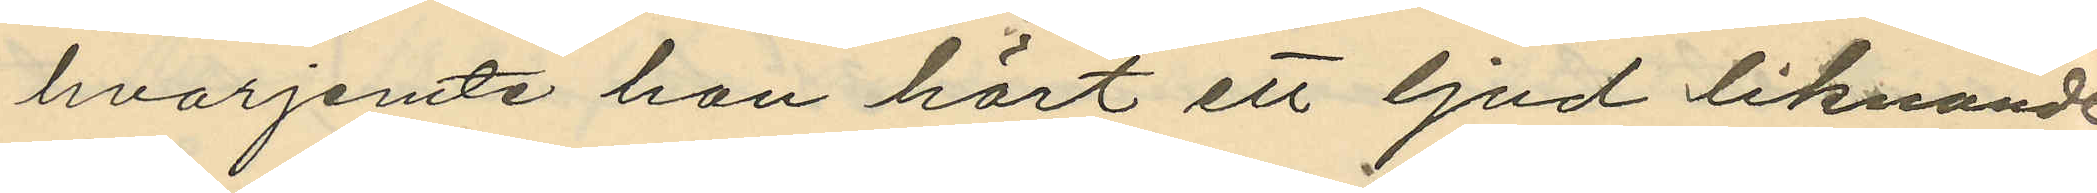hvarjemte hon hört ett ljud liknande
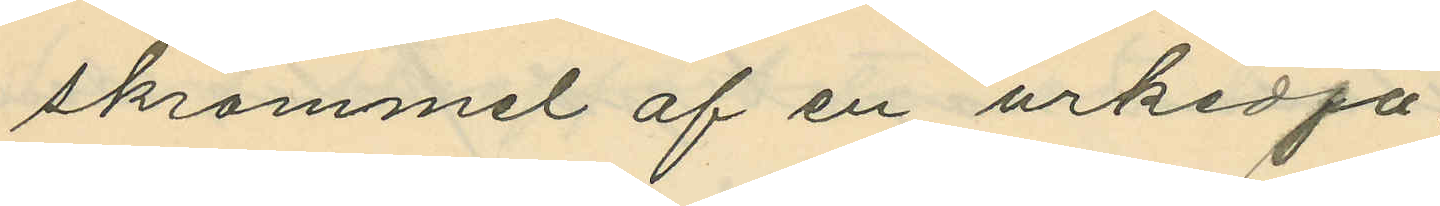skrammel af en urkedja,
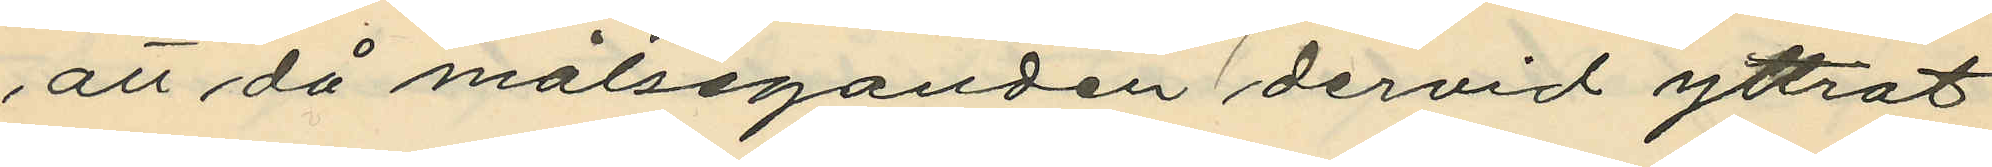att då målseganden dervid yttrat
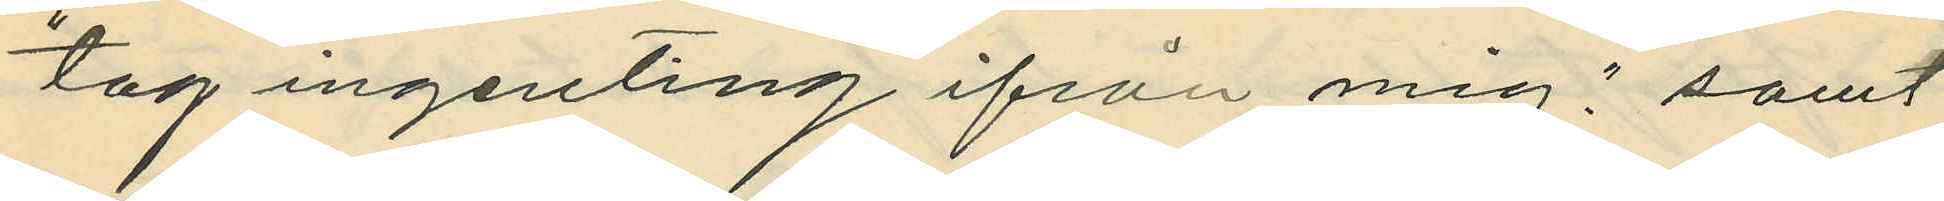"tag ingenting ifrån mig", samt
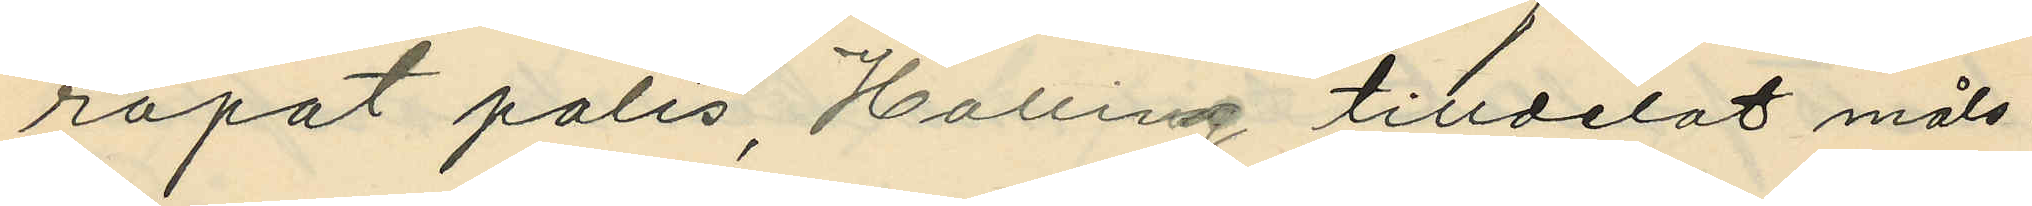ropat polis, Halling tilldelat måls¬
